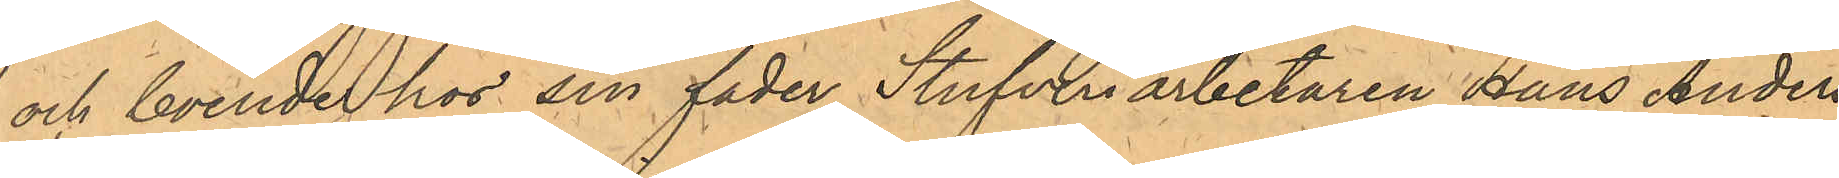och boende hos sin fader Stufveriarbetaren Hans Anders¬
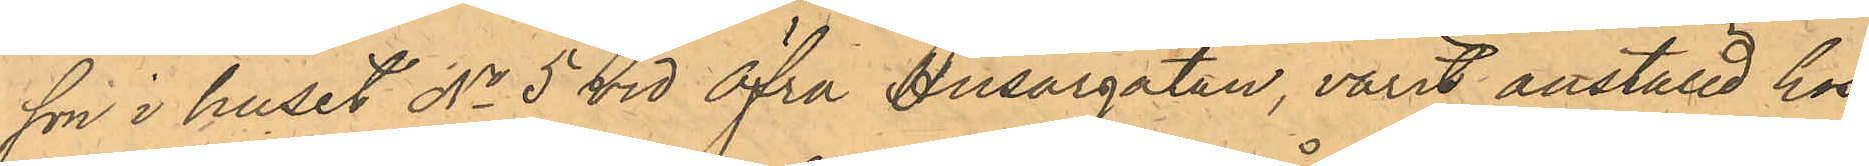son i huset No 5 vid Öfra Husargatan, varit anställd hos
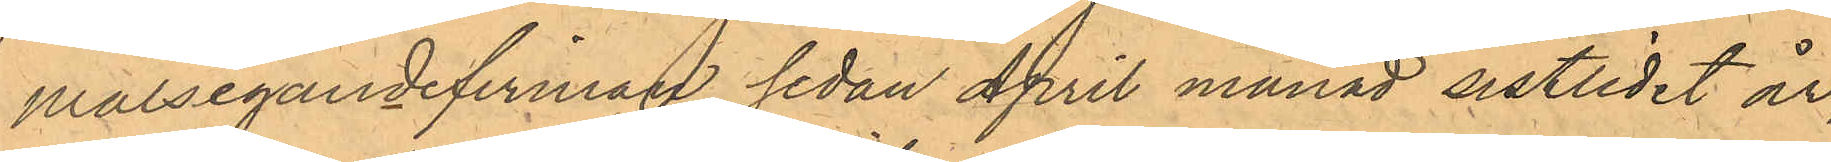Målsegandefirman sedan April månad sistlidet år;
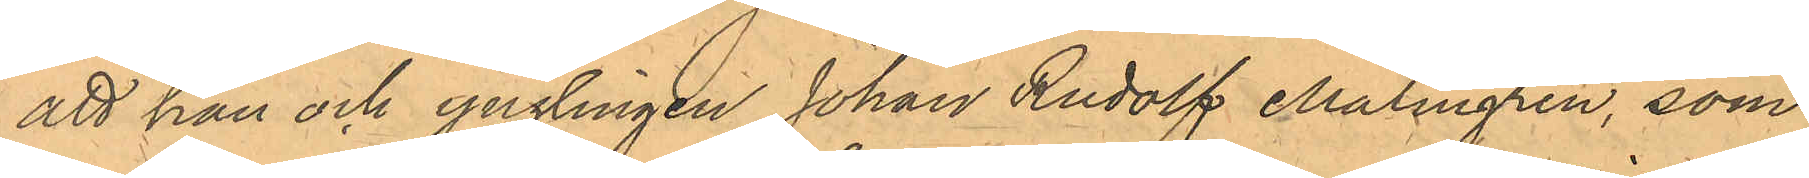att han och ynglingen Johan Rudolf Malmgren, som
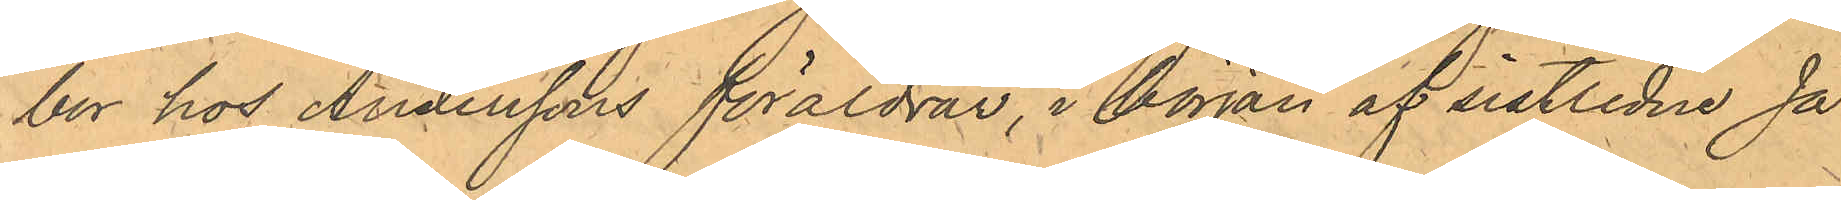bor hos Anderssons föräldrar, i början af sistlidne Ja¬
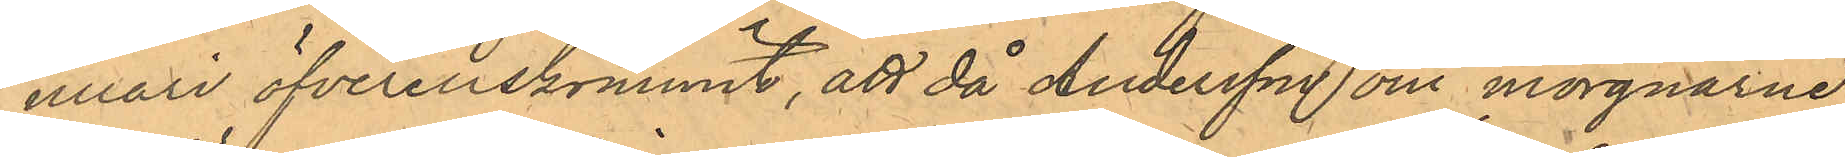nuari öfverenskommit, att då Andersson om morgnarne
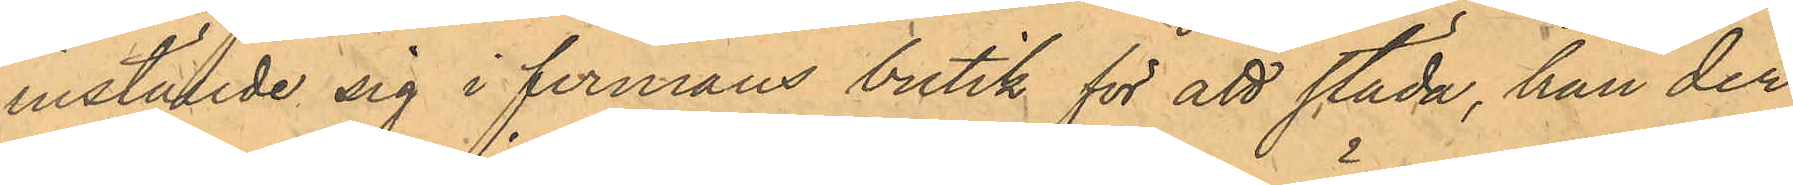inställde sig i firmans butik för att städa, han der
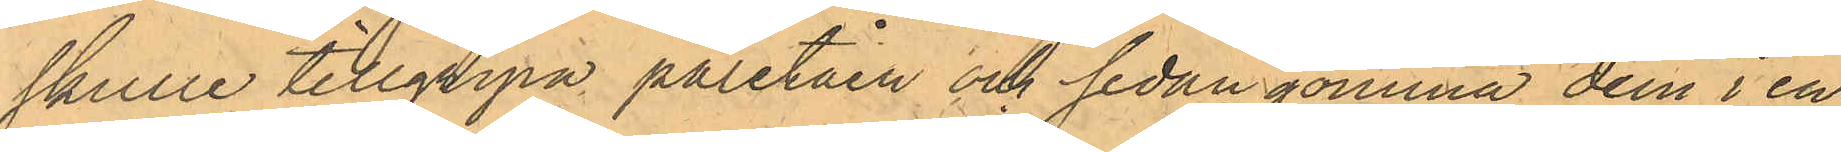skulle tillgripa paletåen och sedan gömma dem i en
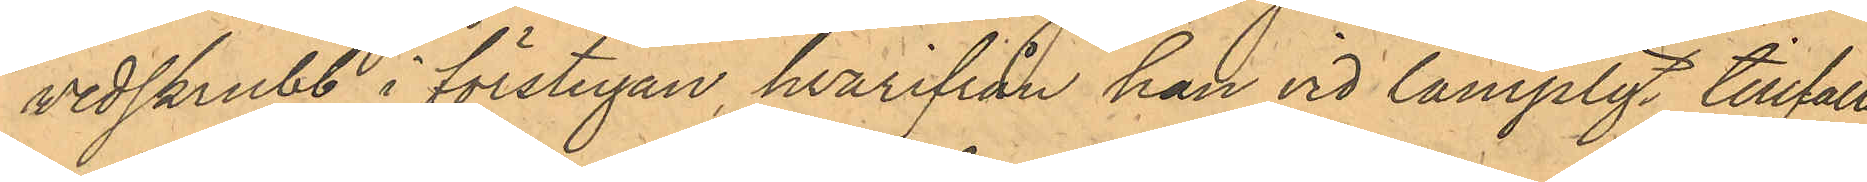vedskrubb i förstugan, hvarifrån han vid lämpligt tillfälle
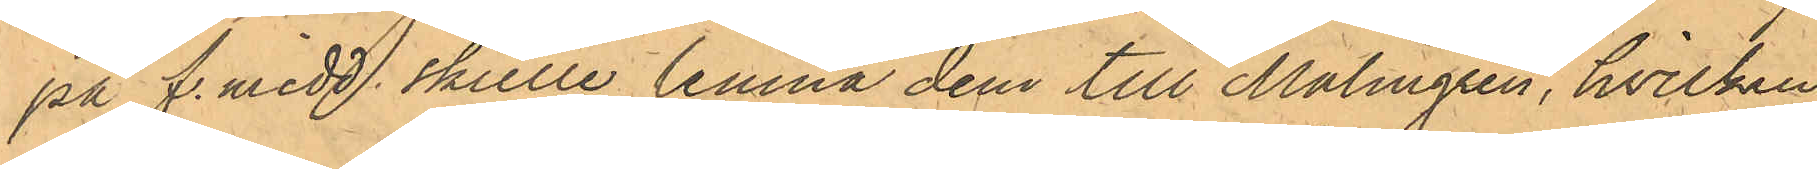på f. midd. skulle lemna dem till Malmgren, hvilken
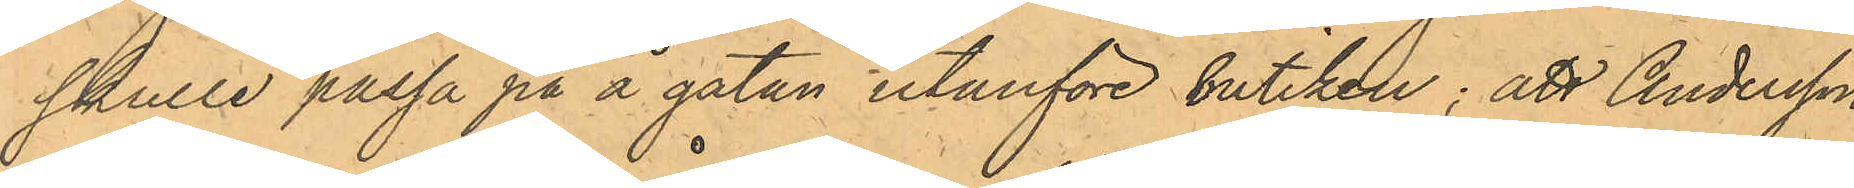skulle passa på å gatan utanföre butiken; att Andersson
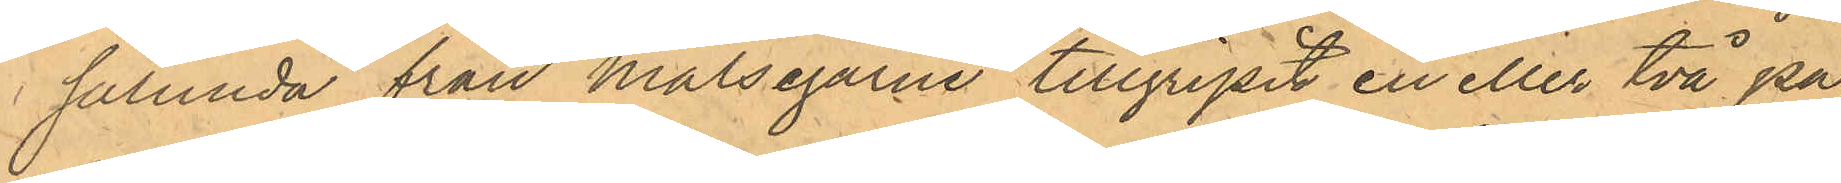sålunda från Målsegarne tillgripit en eller två pa¬
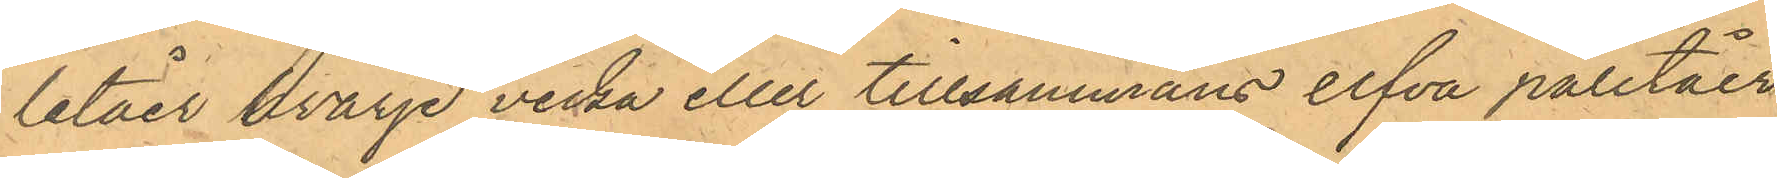letåer hvarje vecka eller tillsammans elfva paletåer,
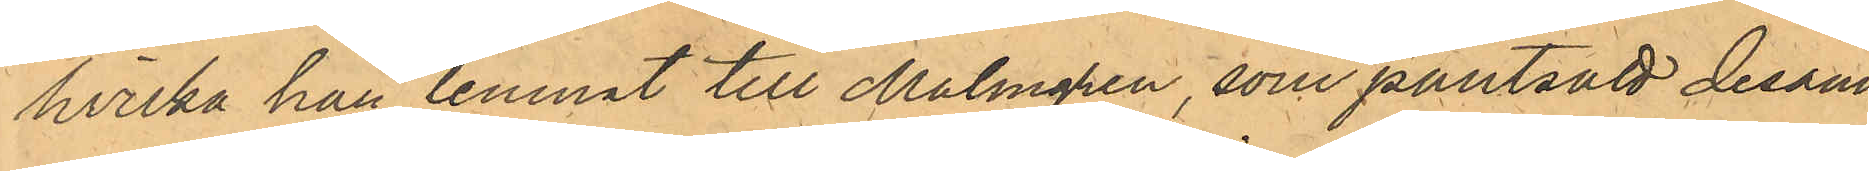hvilka han lemnat till Malmgren, som pantsatt desam¬
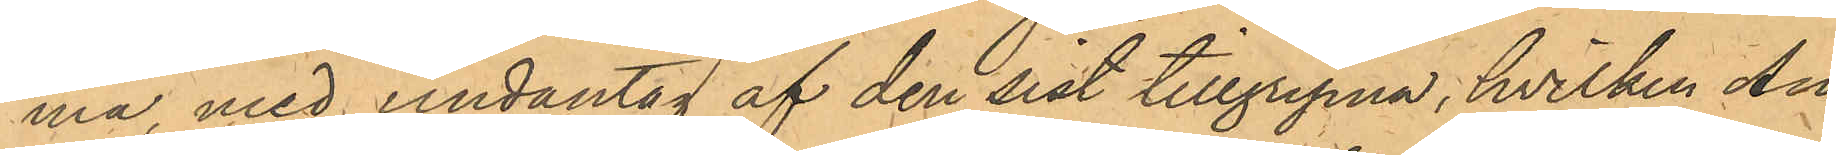ma, med undantag af den sist tillgripna, hvilken An¬
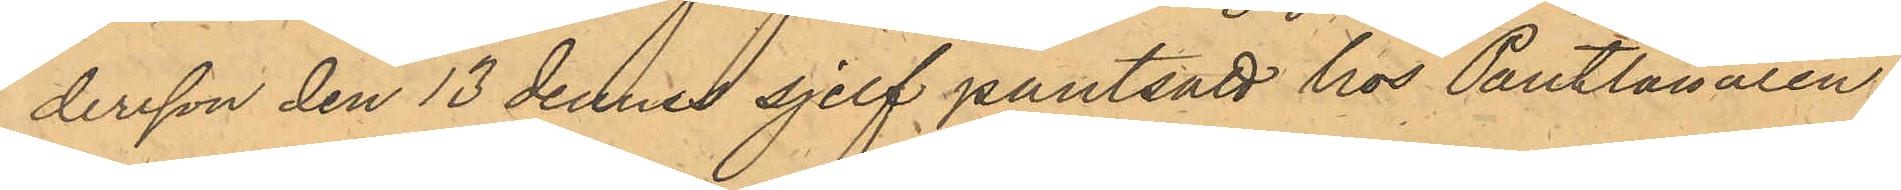dersson den 13 dennes sjelf pantsatt hos Pantlånaren
